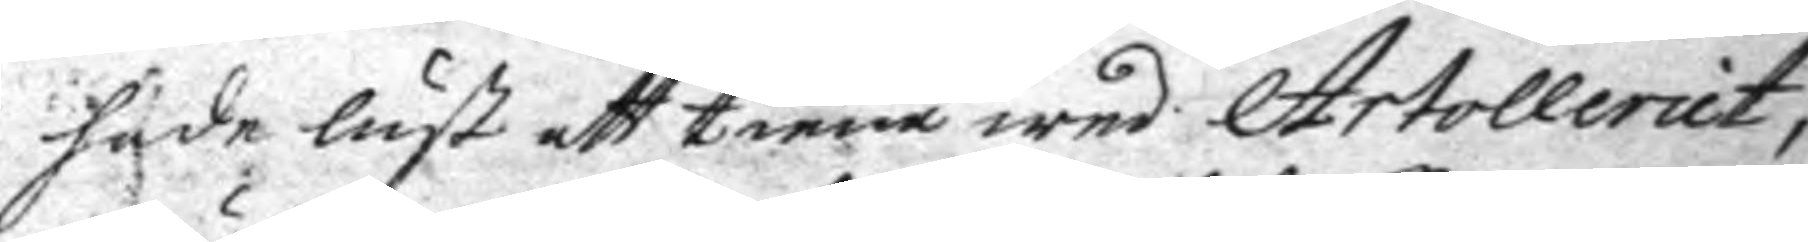,hade lust att tiena wed Artolleriet
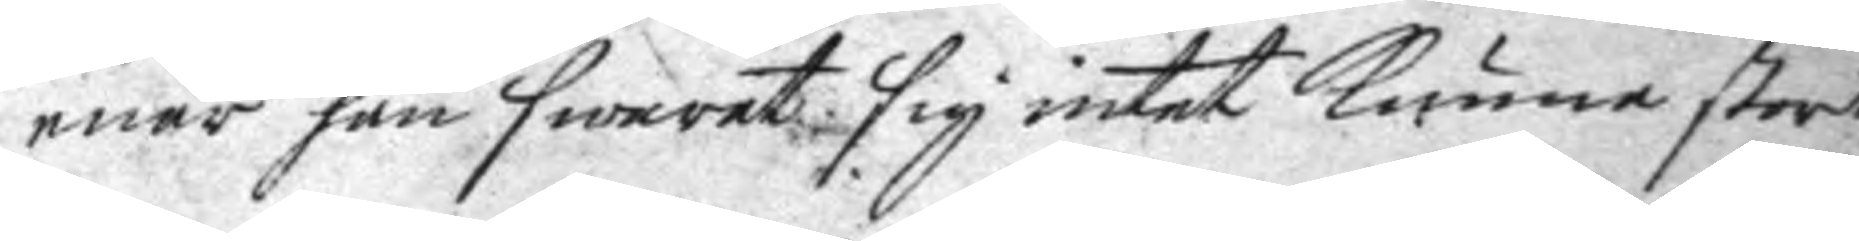enär han swarat sig intet kunna stort
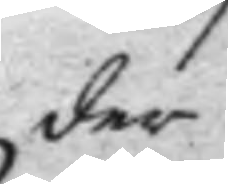der
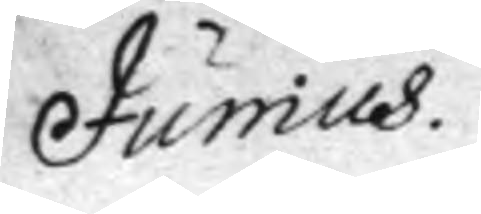Junius.
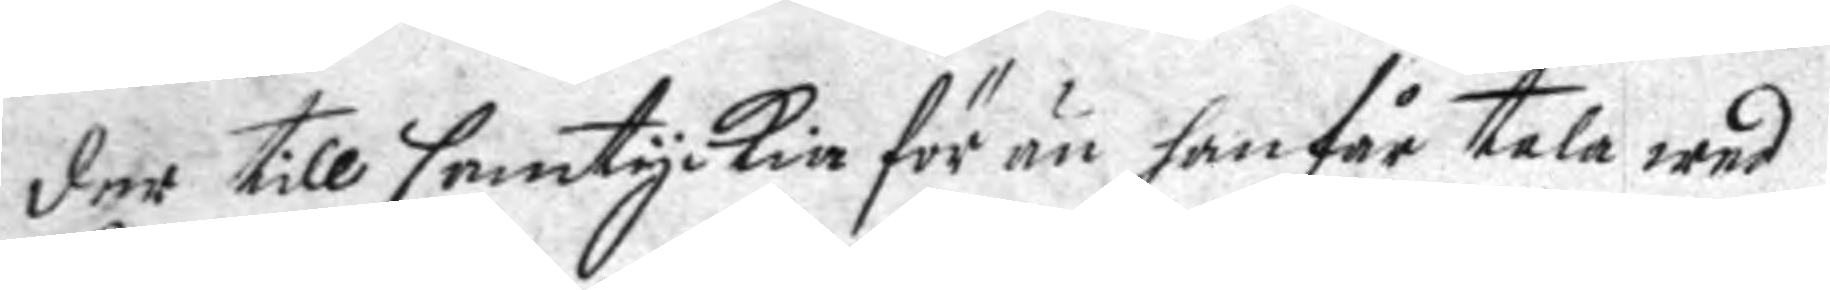der till samtyckia för än han får tala wed
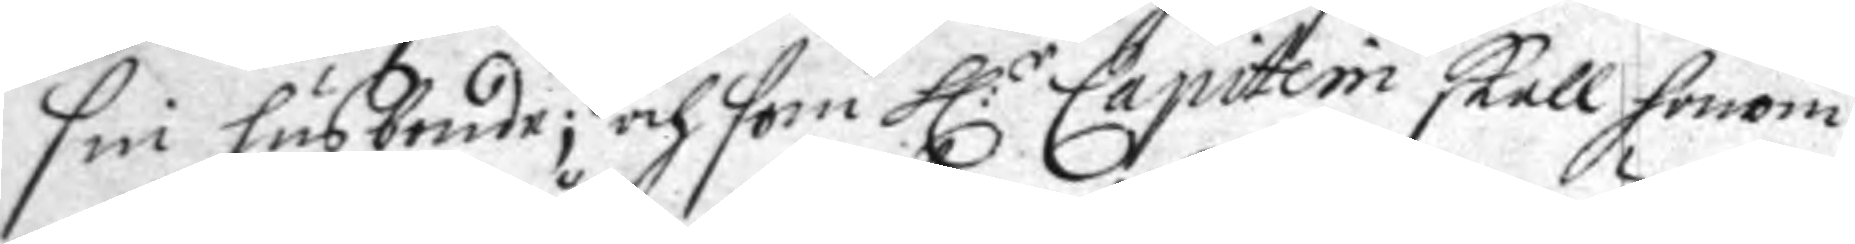sin husbonde; och som h:r Capitein skall honom
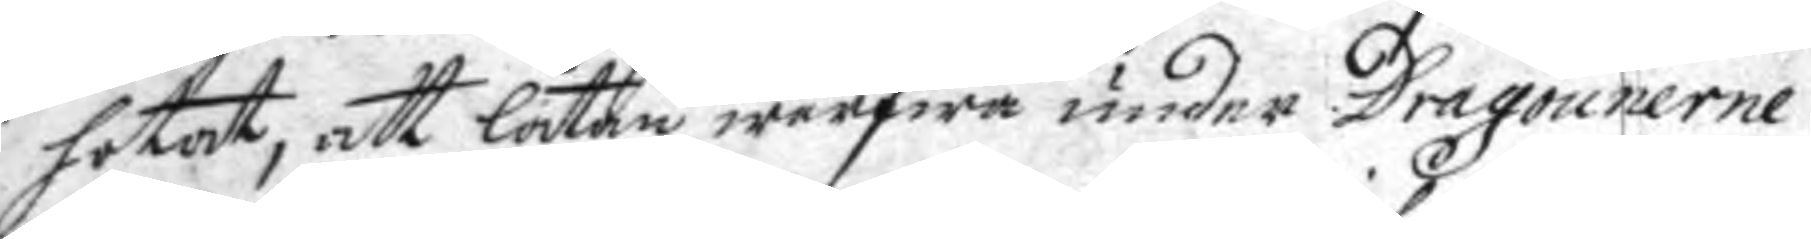hotat, att låtan wärfwa under Dragounerne
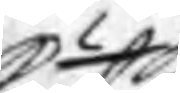eller till
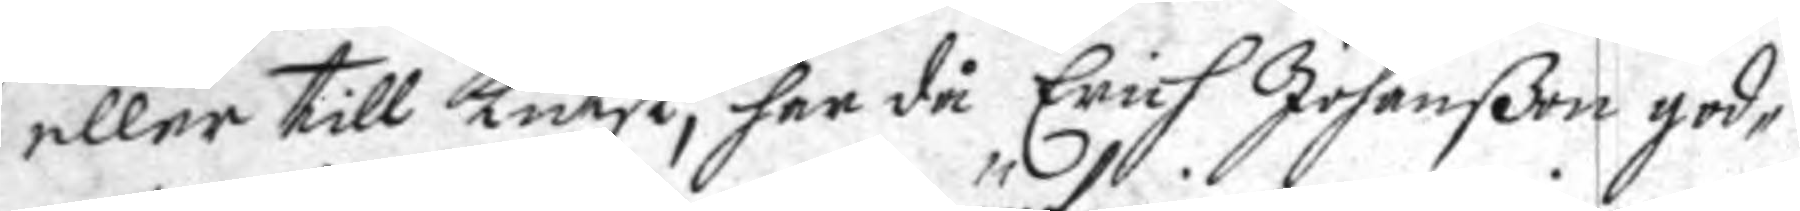eller till kutsk, har då Erich Johanßon god¬
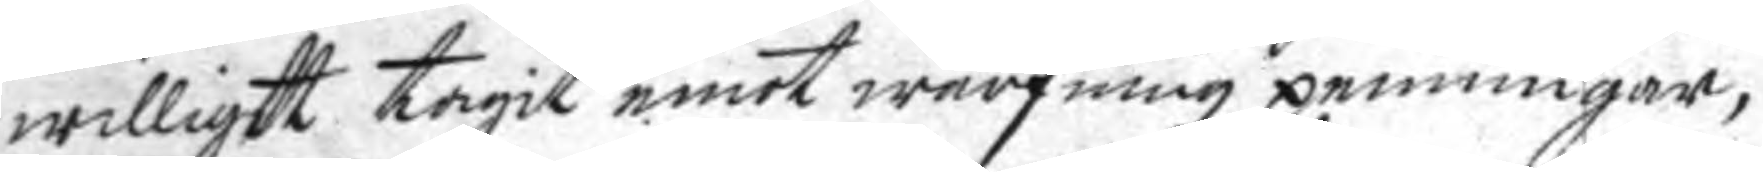willigt tagit emot wärfningz penningar,
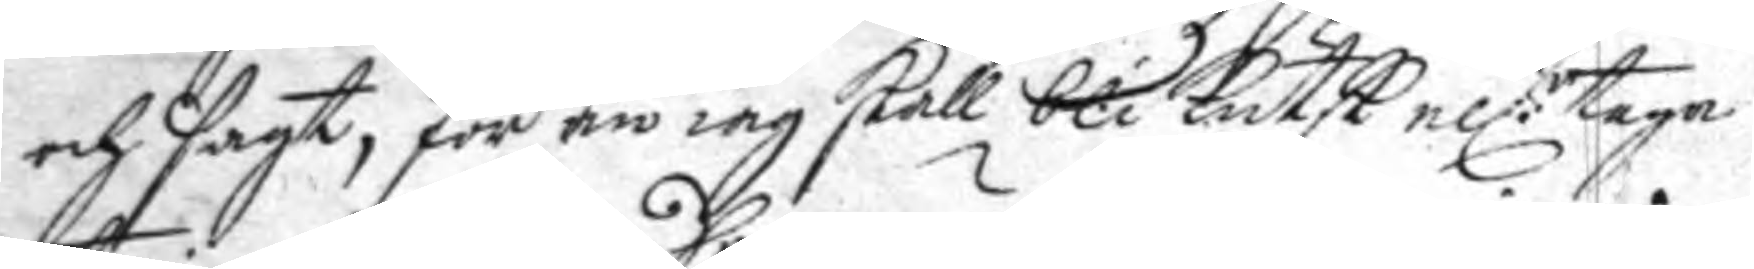och saft för än iag skall bli kutsk el:r taga
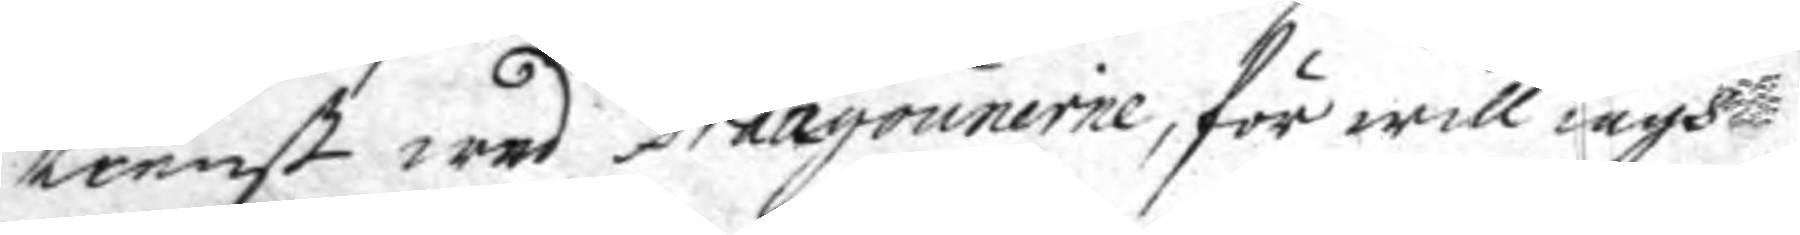tienst wed Dragounerne, för will iagh
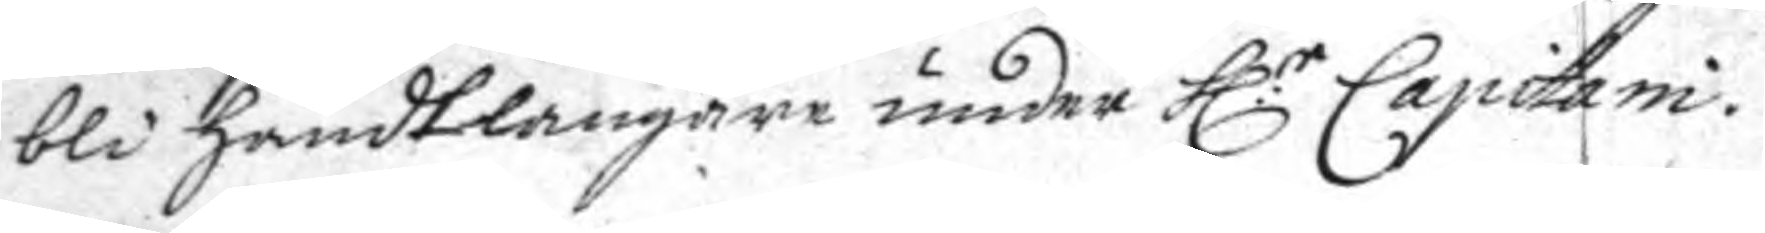bli handtlangare under h:r Capitani.
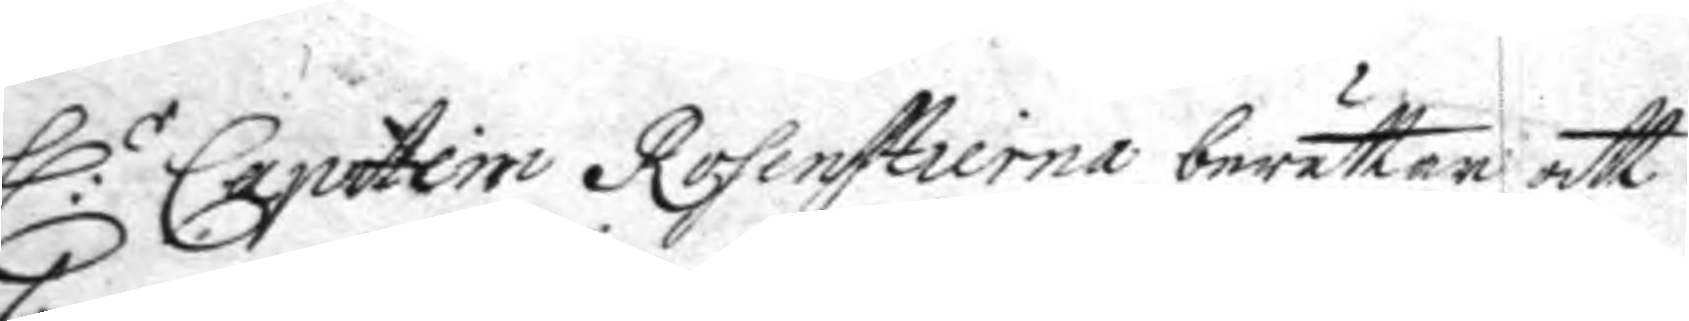h:r Capiteni Rosenstierna berättar att
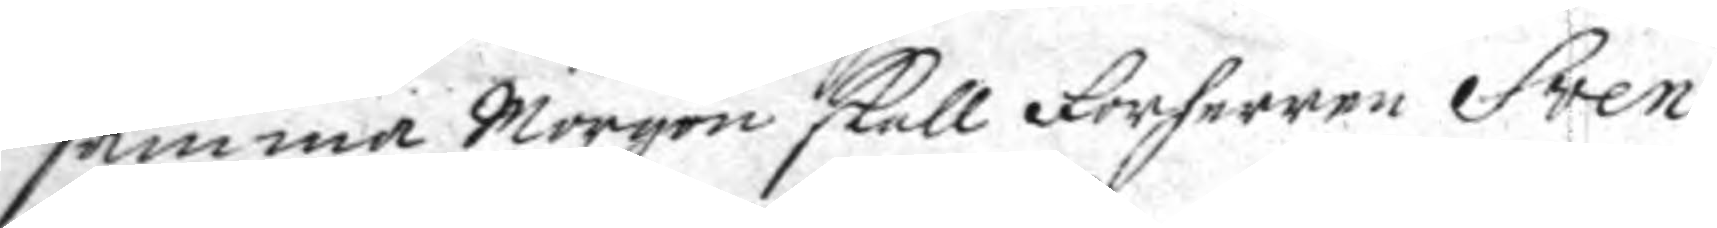samma morgon skall Forherren Sven
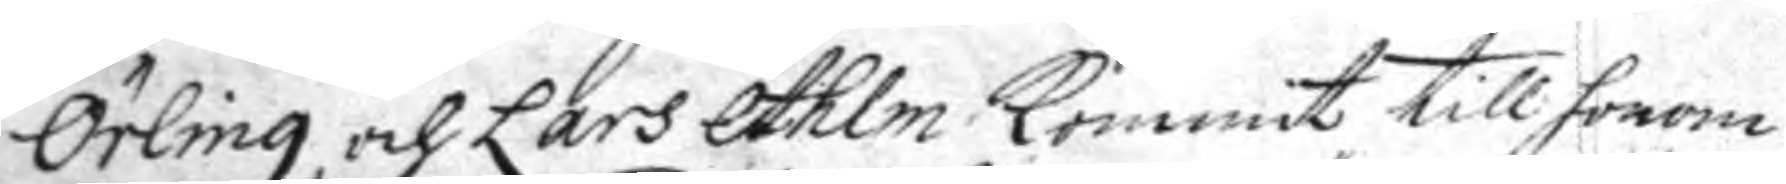Örling och Lars Ahlm kommit till honom
